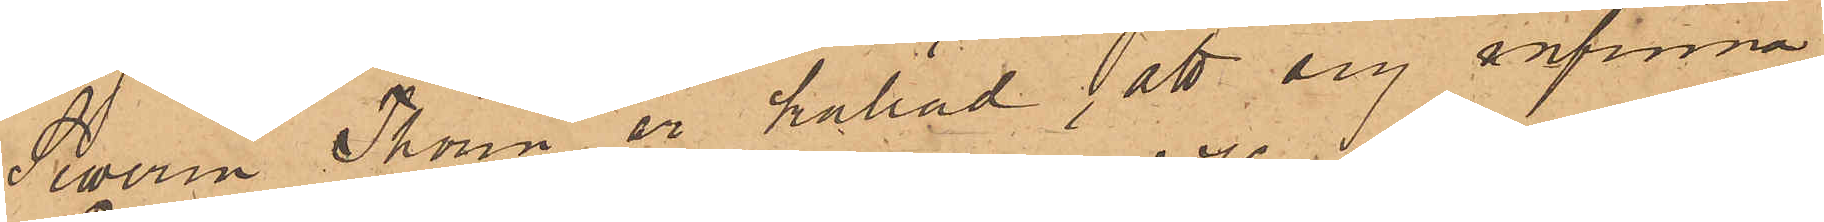Severin Thorin är kallad att sig infinna.
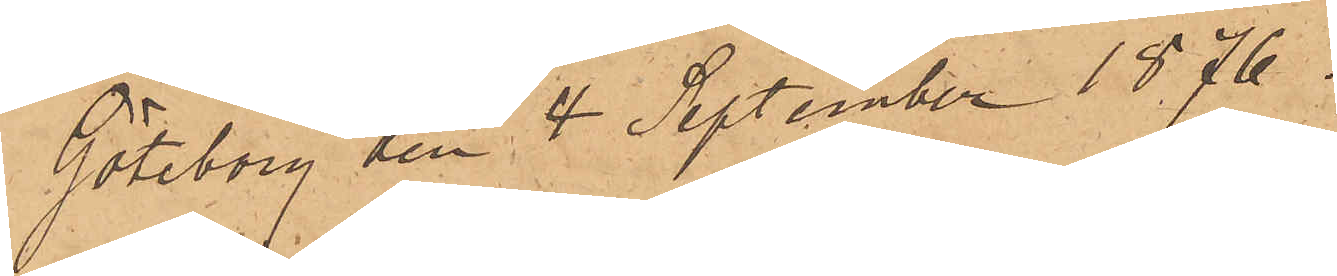Göteborg den 4 September 1876.
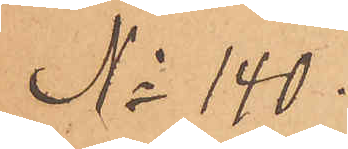No 140.
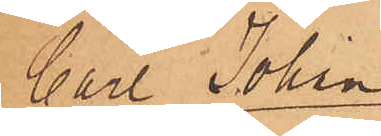Carl Johan
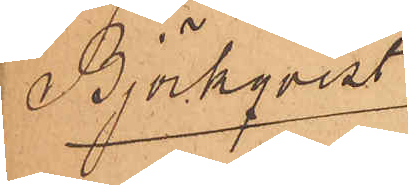Björkqvist
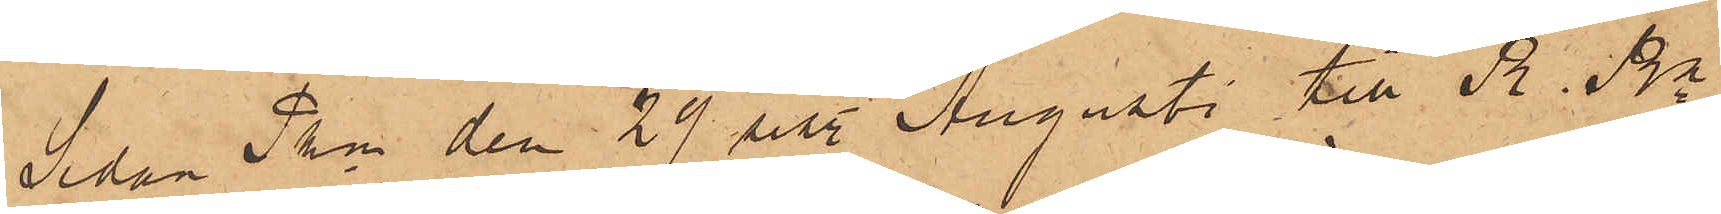Sedan Pkn den 29 sist. Augusti till R. Rn
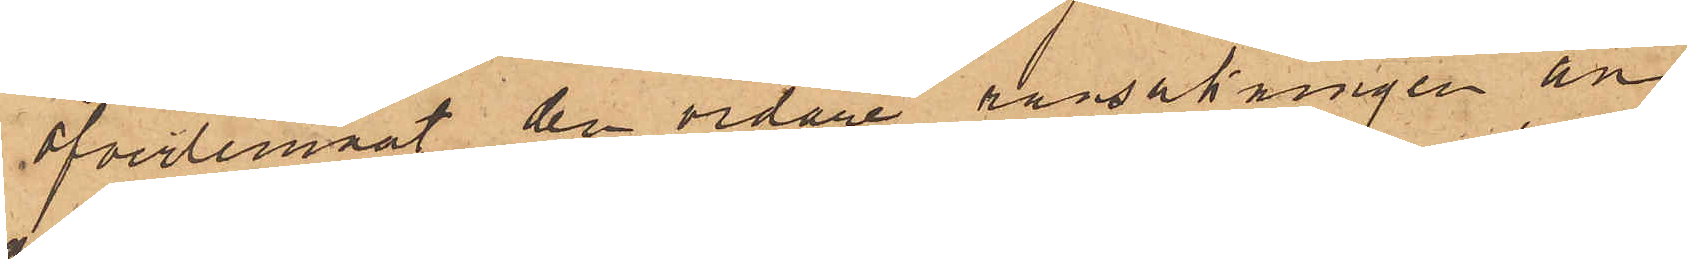öfverlemnat den vidare ransakningen an¬
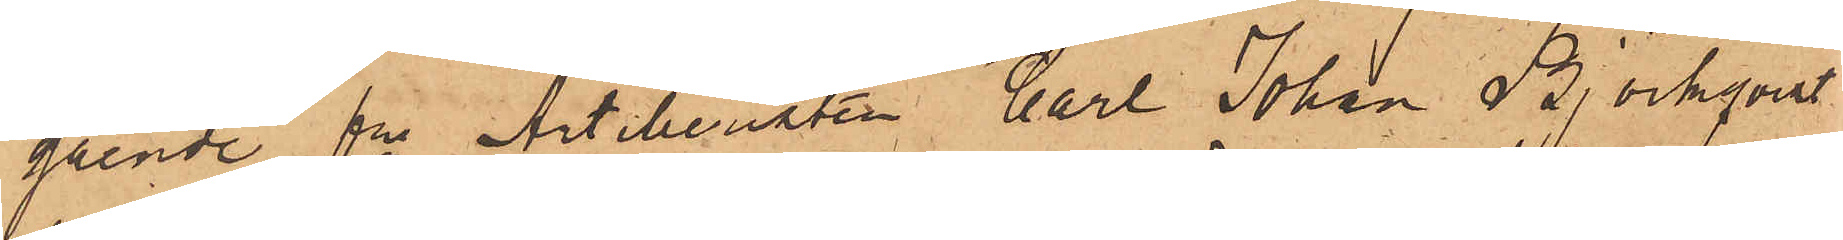gående fre Artilleristen Carl Johan Björkqvist
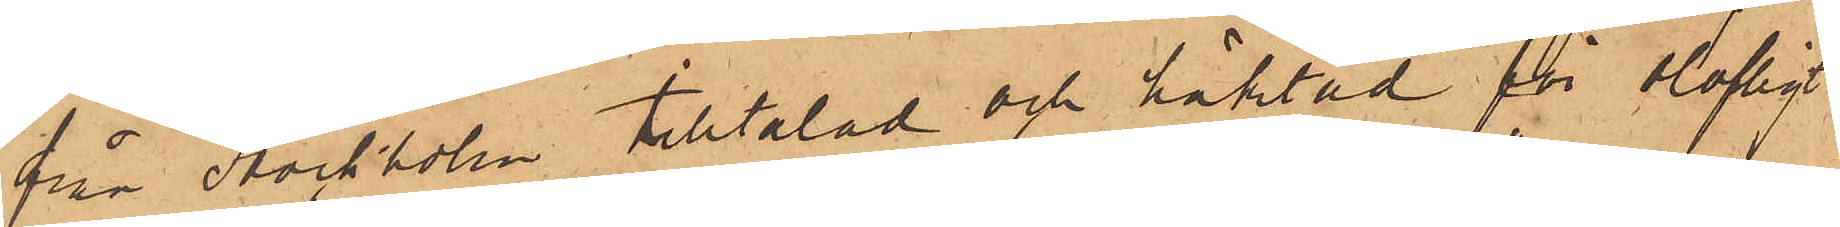från Stockholm tilltalad och häktad för olofligt
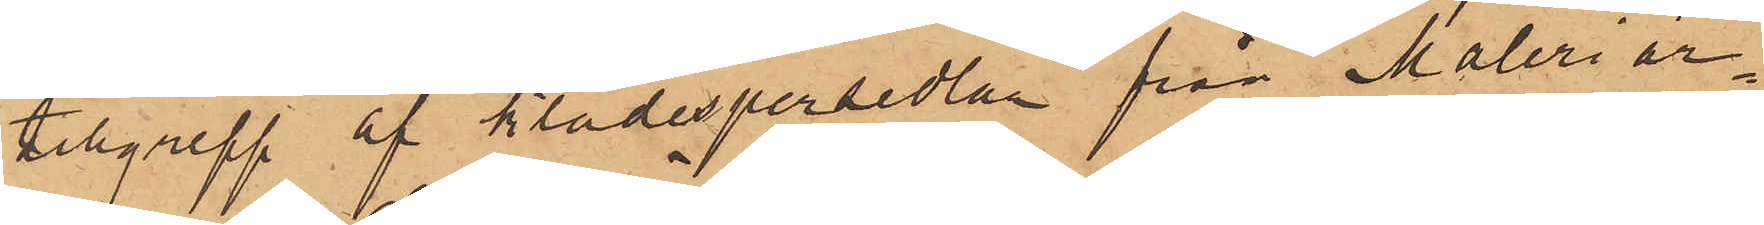tillgrepp af klädespersedlar från Måleriar¬
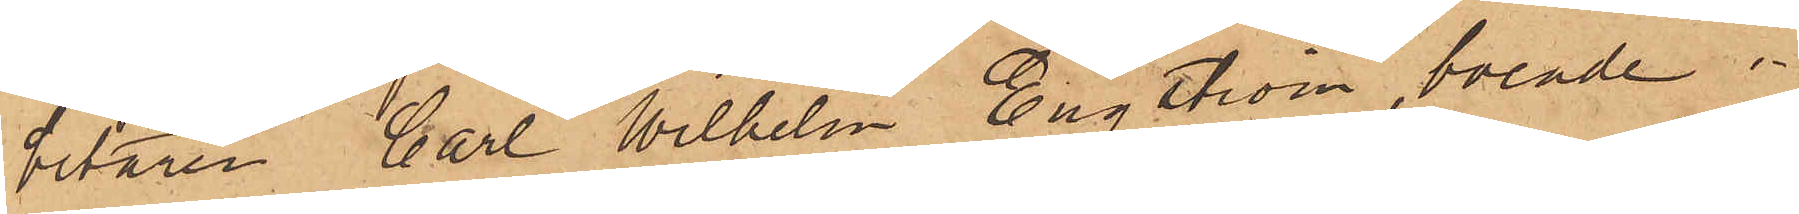betaren Carl Wilhelm Engström, boende i
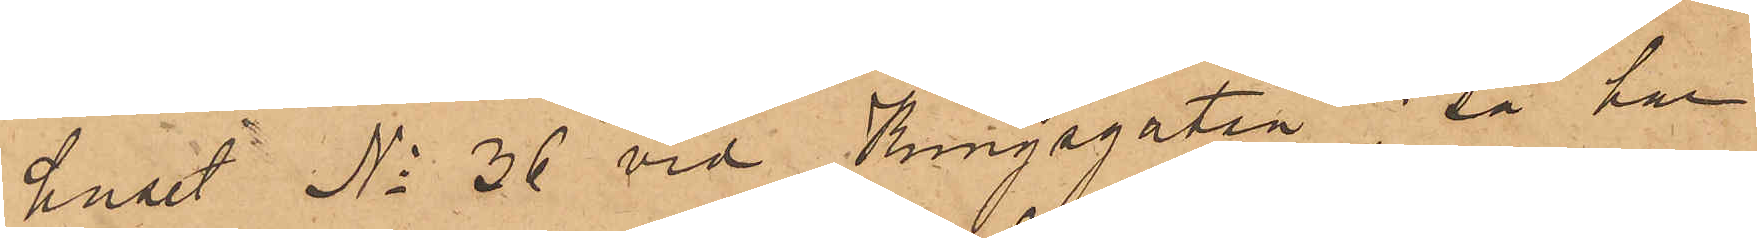huset No 36 vid Kungsgatan; så har
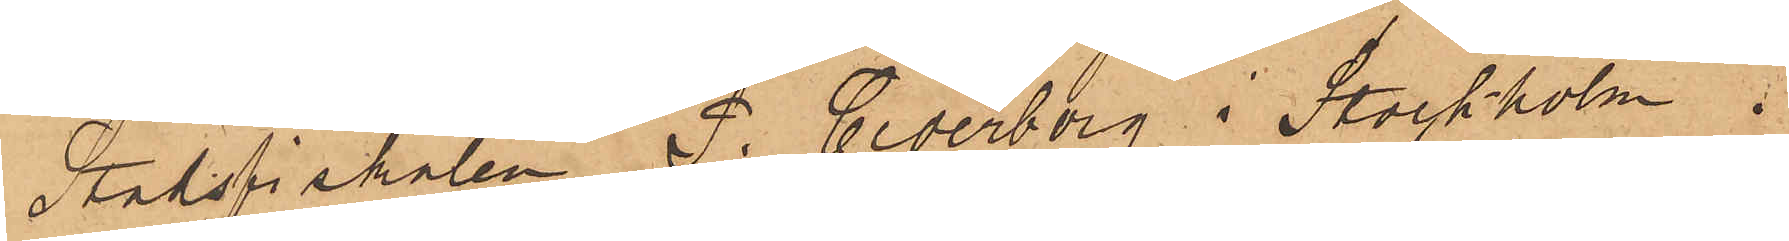Stadsfiskalen P. Cederborg i Stockholm i
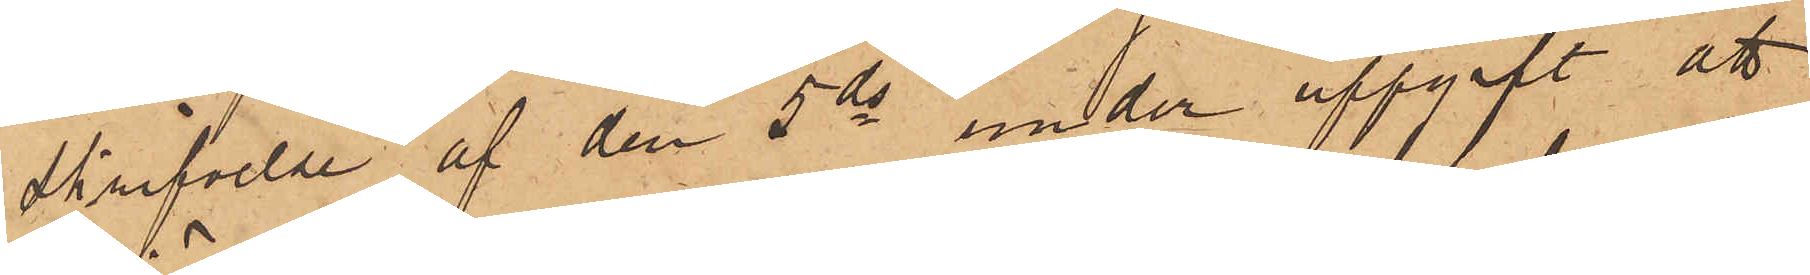skrifvelse af den 5 ds under uppgift att
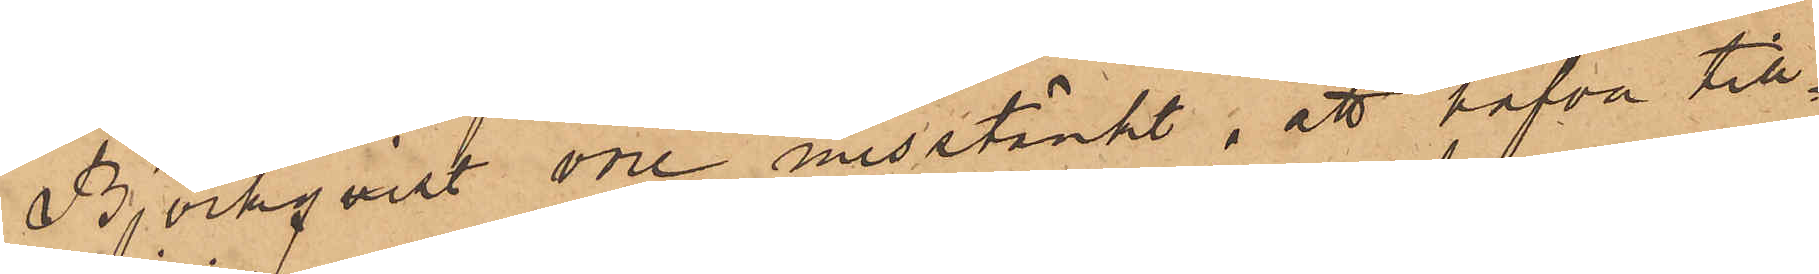Björkqvist vore misstänkt, att hafva till¬
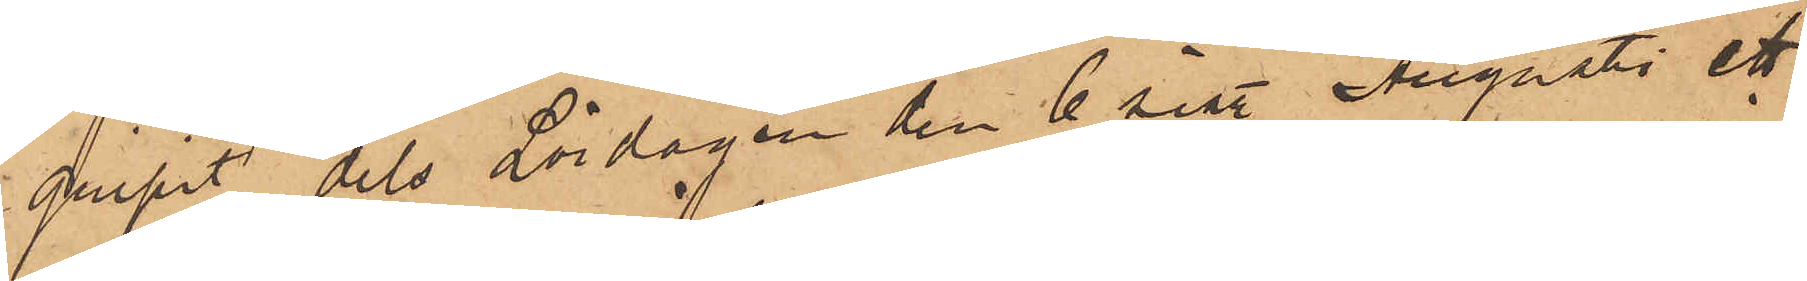gripit dels Lördagen den 6 sist. Augusti ett
